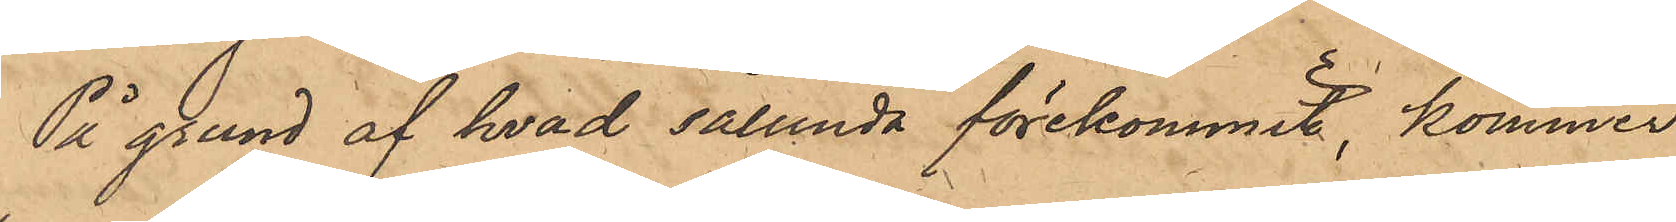På grund af hvad sålunda förekommit, kommer
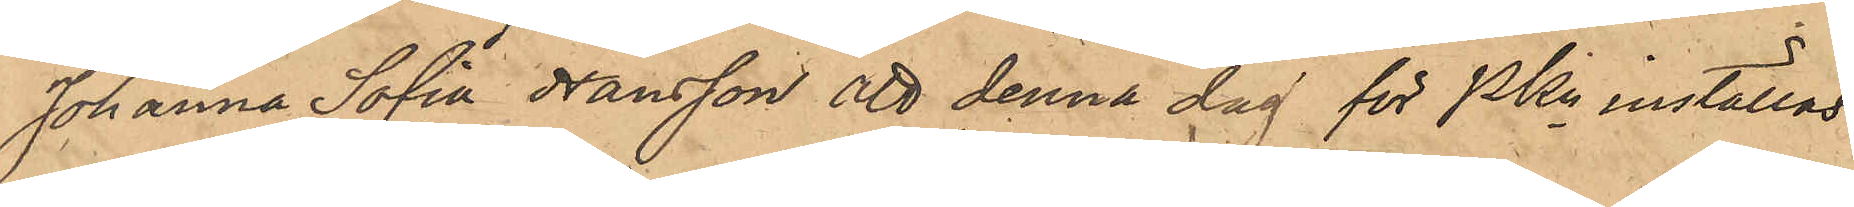Johanna Sofia Hansson att denna dag för Pkn inställas.
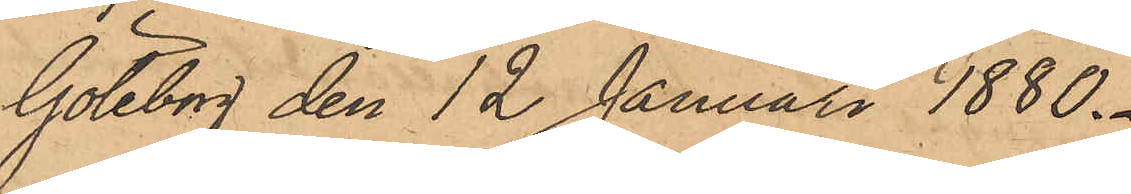Göteborg den 12 Januari 1880.
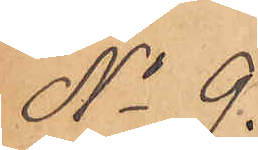No 9.
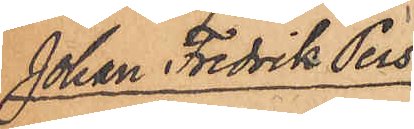Johan Fredrik Pers¬
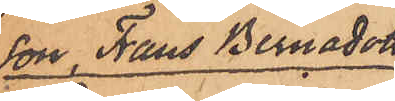son, Frans Bernadotte
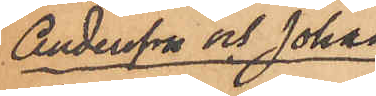Andersson och Johan
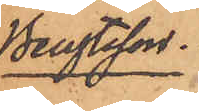Bengtsson.
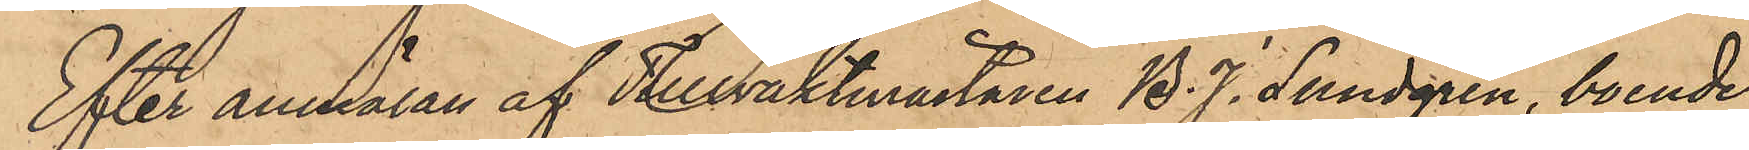Efter anmälan af Tullvaktmästaren B. J. Lundgren, boende
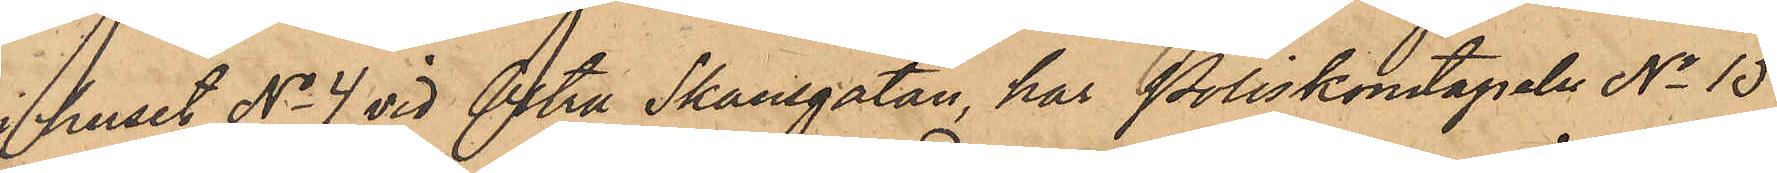i huset No 4 vid Östra Skansgatan, har Poliskonstapeln No 15
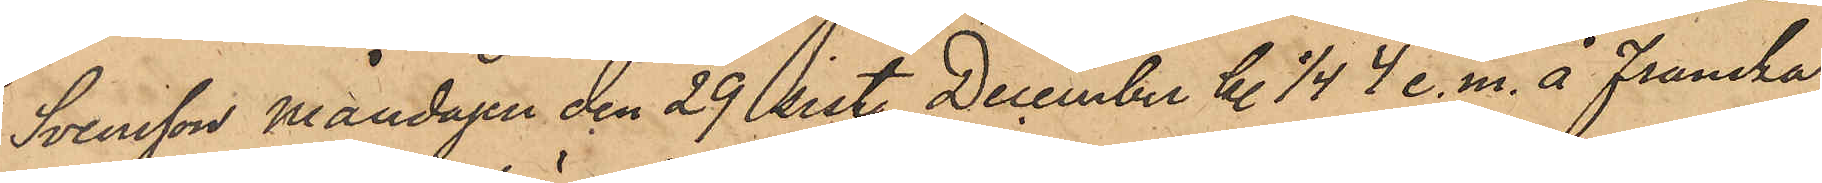Svensson måndagen den 29 sist. December kl. 1/4 4 e. m. å franska
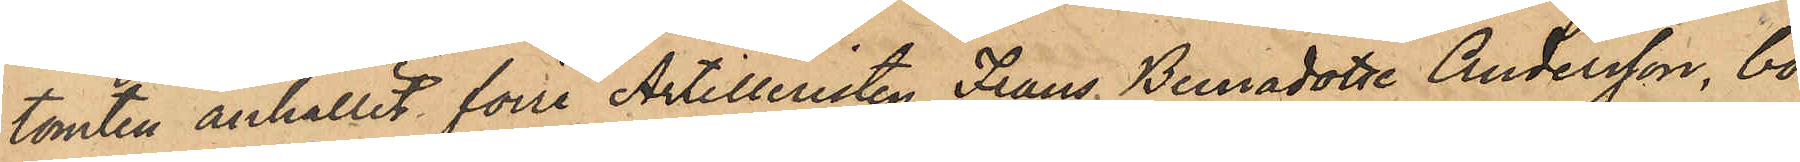tomten anhållit före Artilleristen Frans Bernadotte Andersson, bo¬
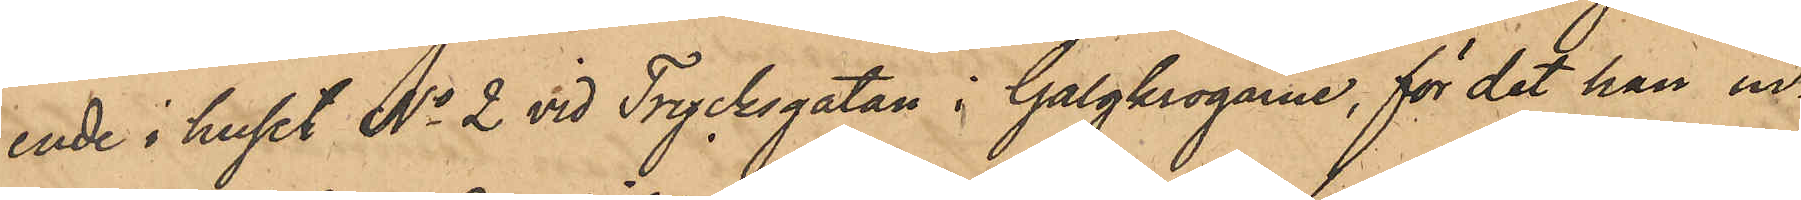ende i huset No 2 vid Trycksgatan i Galgkrogarne, för det han in¬
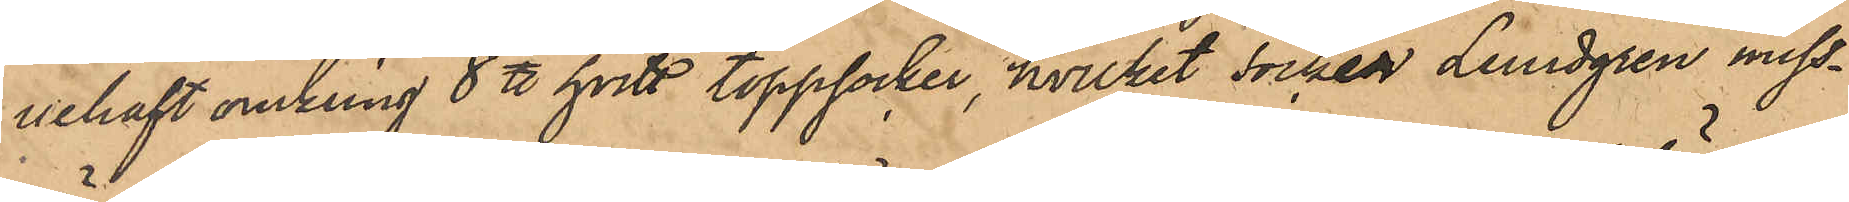nehaft omkring 8 ℔ hvitt toppsocker, hvilket socker Lundgren miss¬
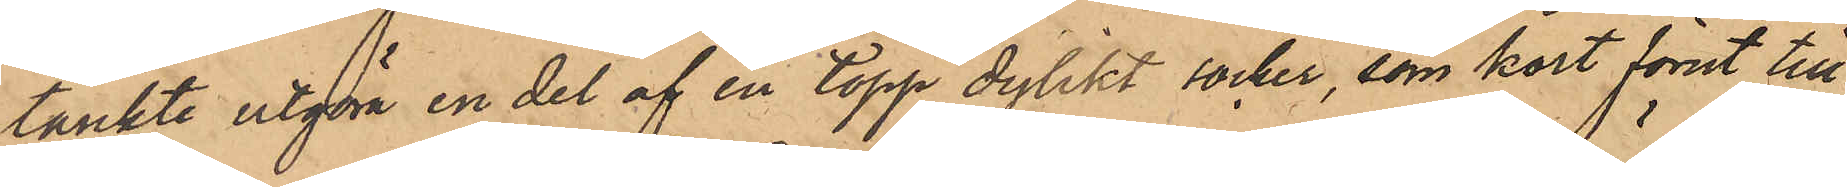tänkte utgöra en del af en topp dylikt socker, som kort förut till¬
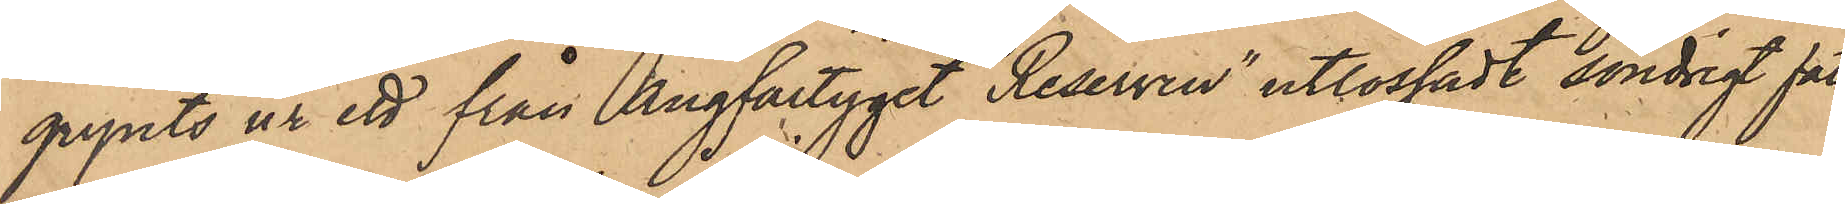gripits ur ett från ångfartyget "Reserven" utlossadt söndrigt fat,
